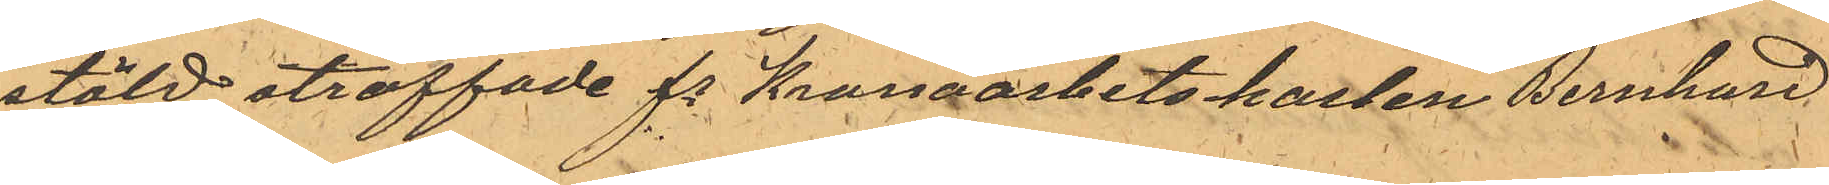stöld straffade fe Kronoarbetskarlen Bernhard
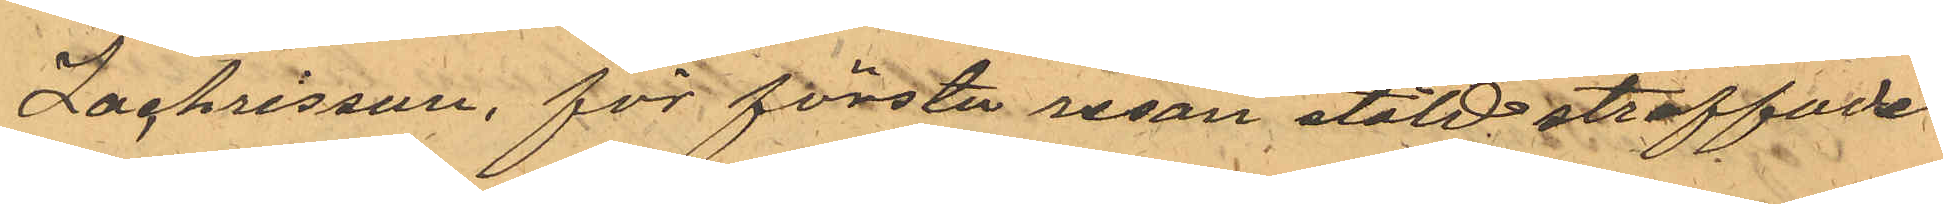Zachrisson, för första resan stöld straffade
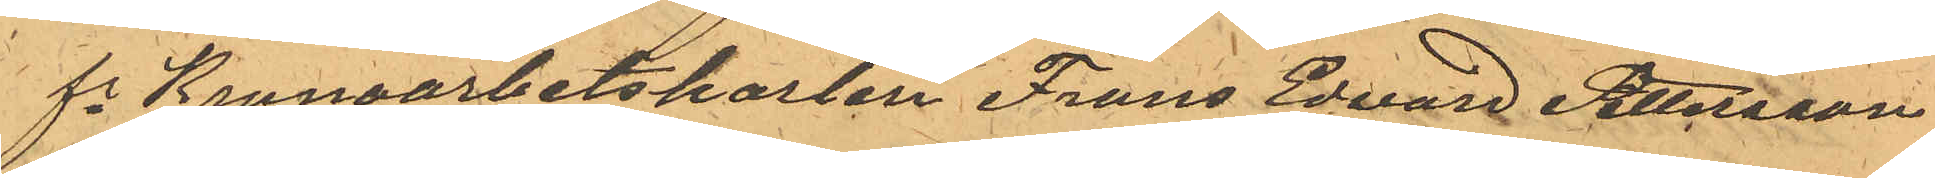fe Kronoarbetskarlen Frans Edvard Pettersson
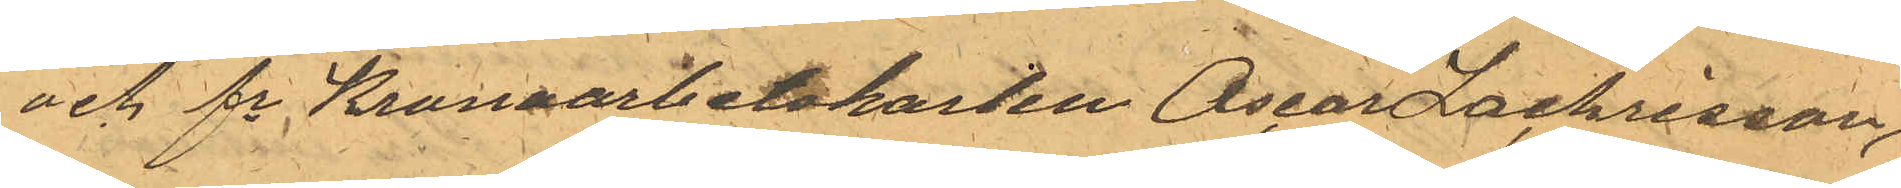och fe Kronoarbetskarlen Oscar Zachrisson,
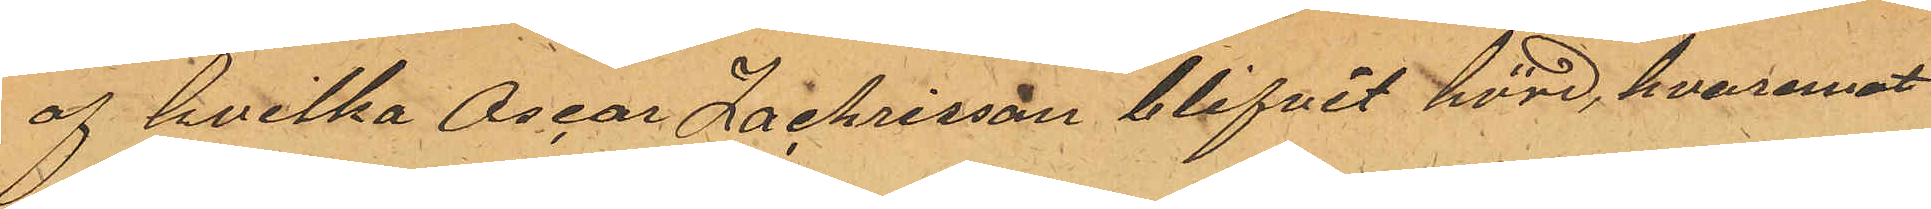af hvilka Oscar Zachrisson blifvit hörd, hvaremot
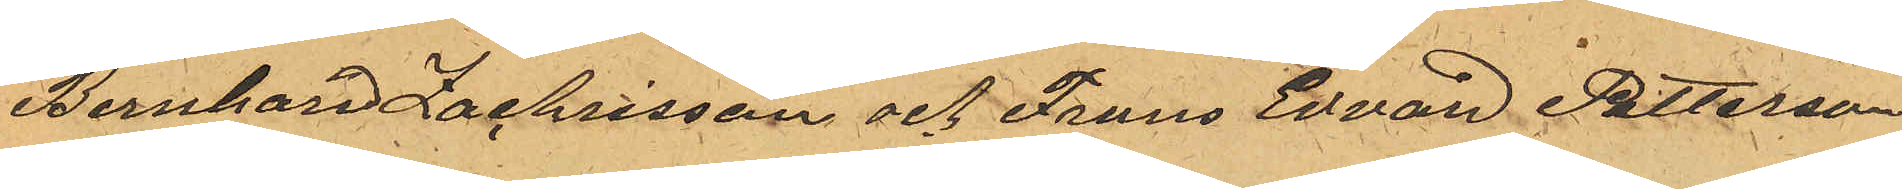Bernhard Zachrisson och Frans Edvard Petterson
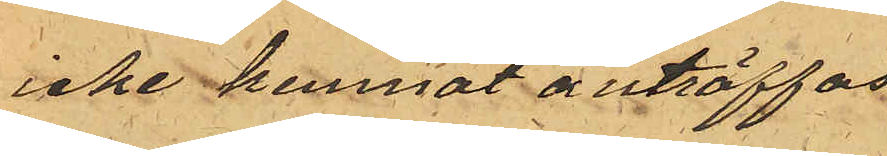icke kunnat anträffas
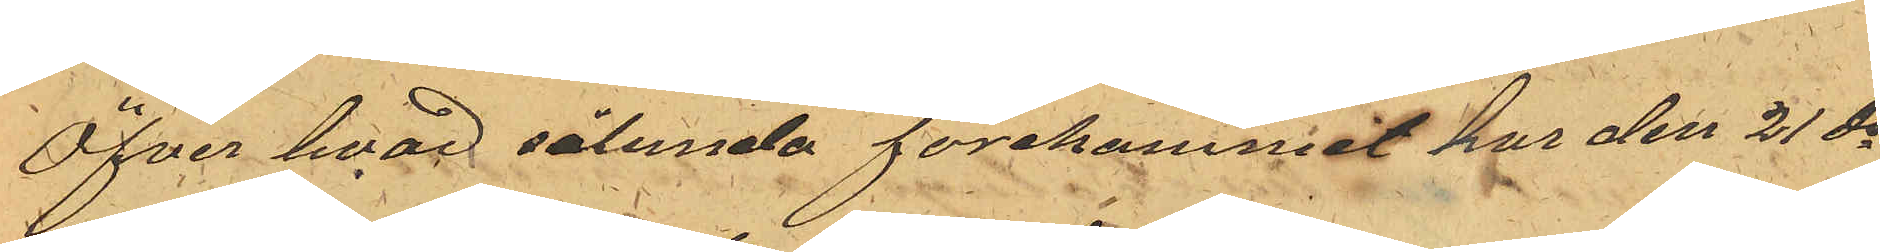Öfver hvad sålunda förekommit har den 21 ds
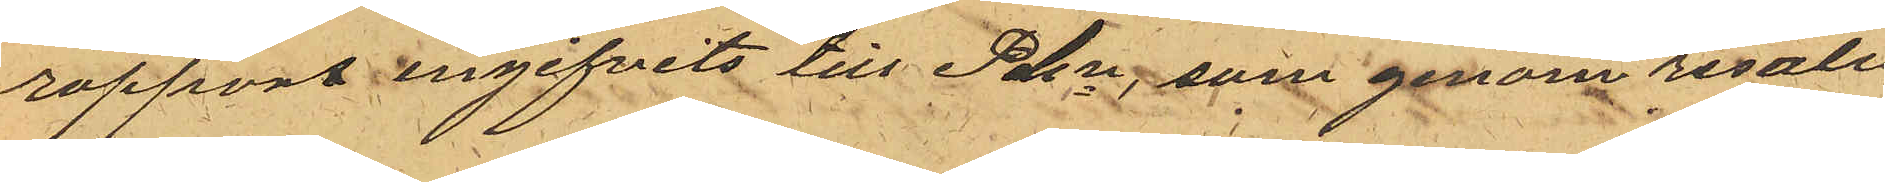rapport ingifvits till Pkn, som genom resolu¬
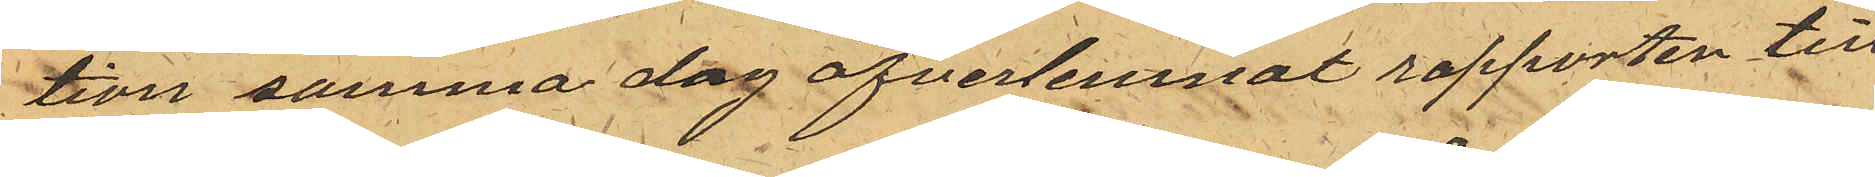tion samma dag öfverlemnat rapporten till
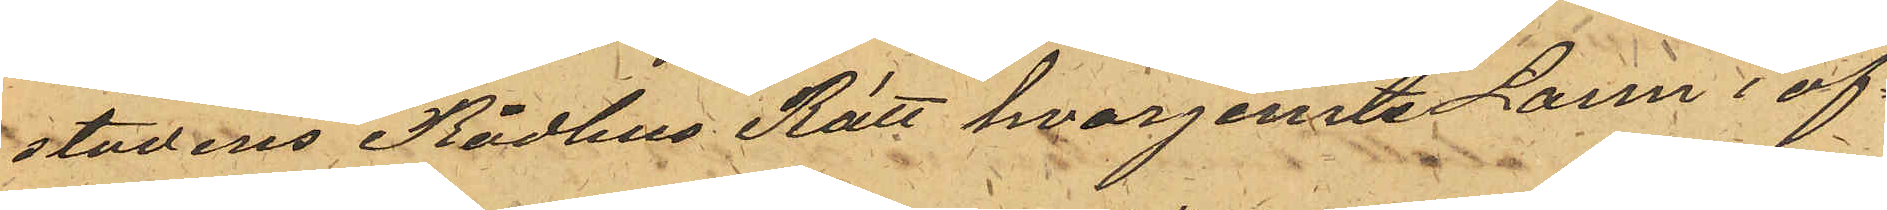stadens Rådhus Rätt hvarjemte Larm i af¬
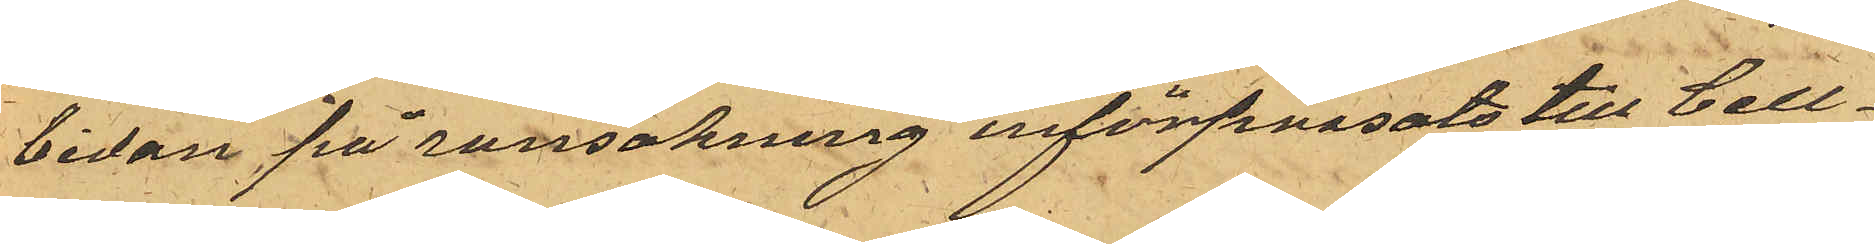bidan på ransakning införpassats till Cell¬
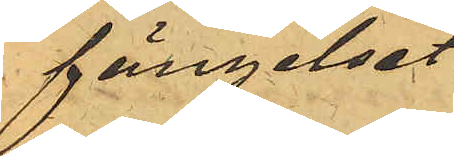fängelset.
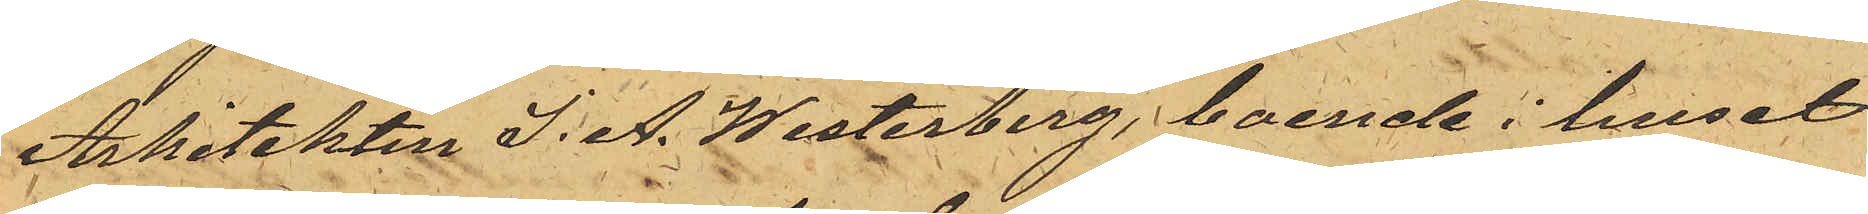Arkitekten J. A. Westerberg, boende i huset
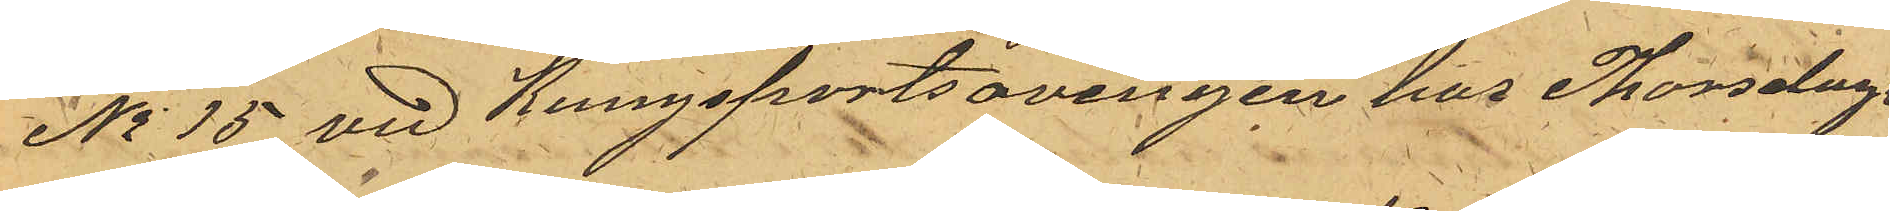No 15 vid Kungsportsavenyen har Thorsdagen
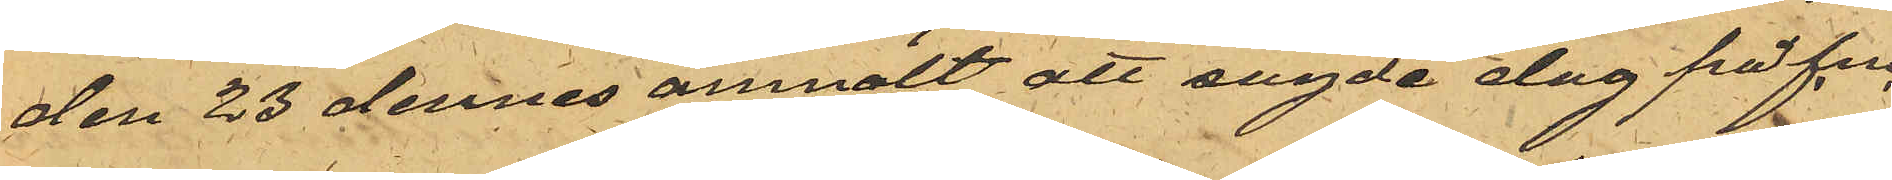den 23 dennes anmält att sagde dag på f.m.
